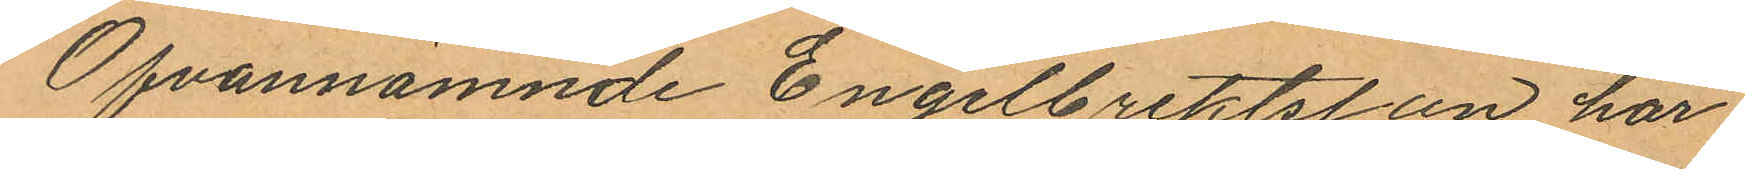Ofvannämnde Engelbrektsson har
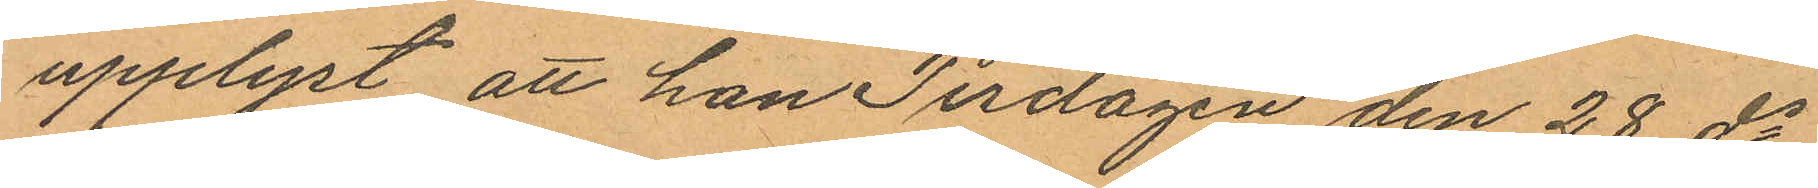upplyst att han Tisdagen den 28 ds
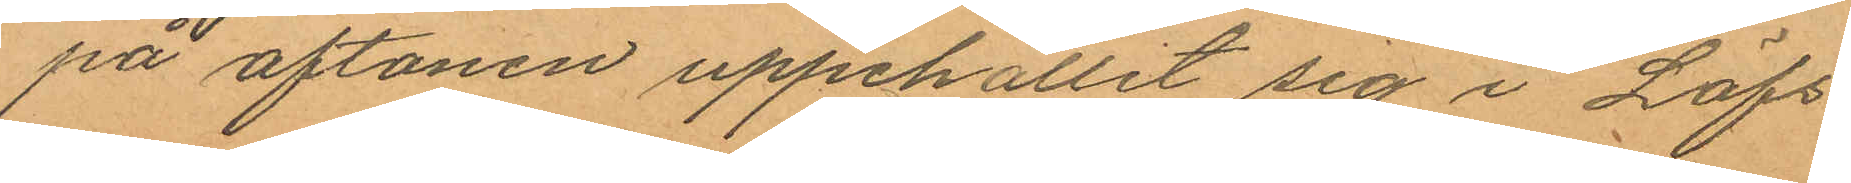på aftonen uppehållit sig i Löfs
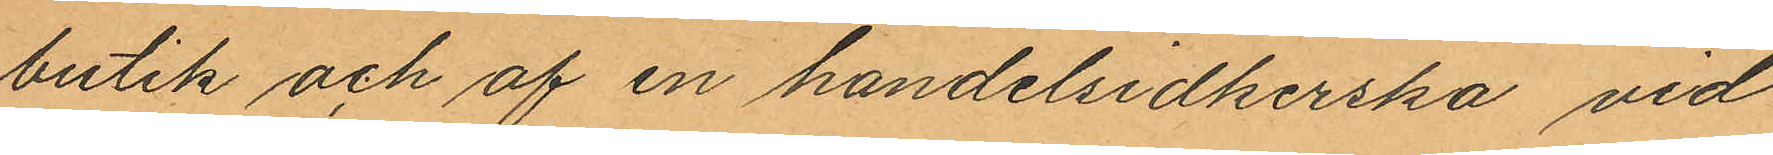butik och af en handelsidkerska vid
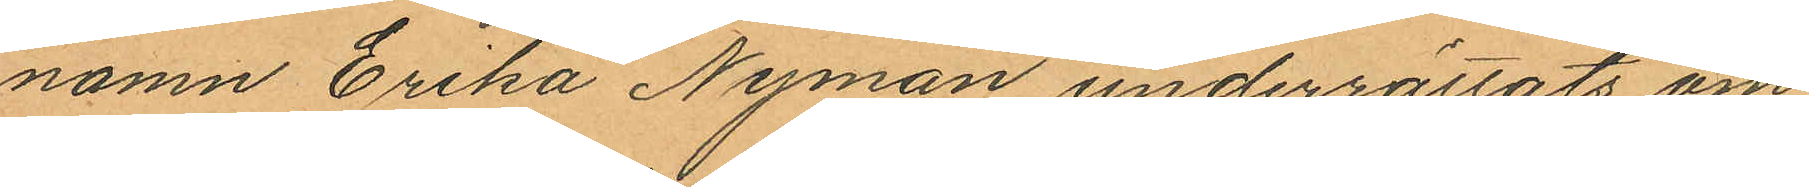namn Erika Nyman underrättats om
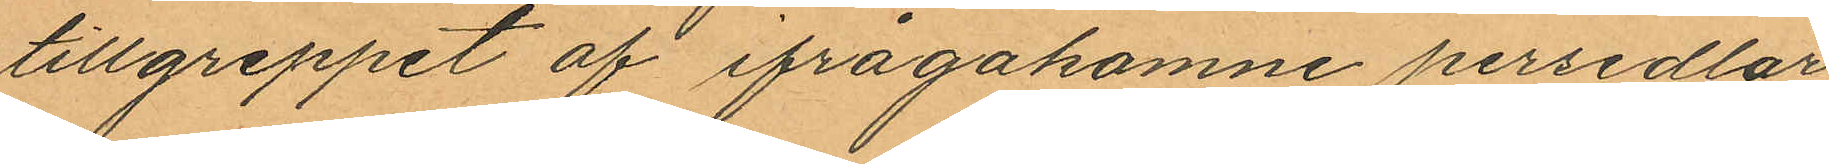tillgreppet af ifrågakomne persedlar,
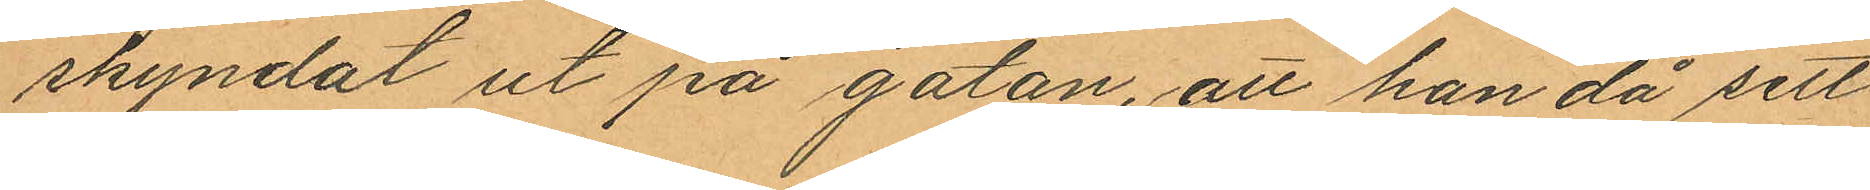skyndat ut på gatan, att han då sett
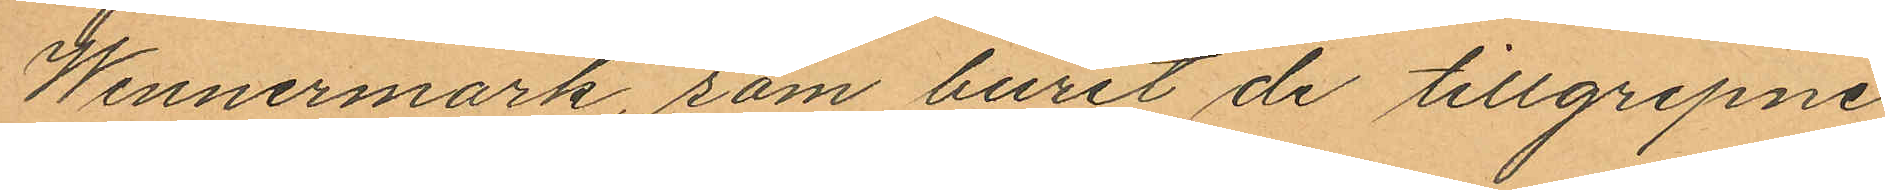Wennermark, som burit de tillgripne
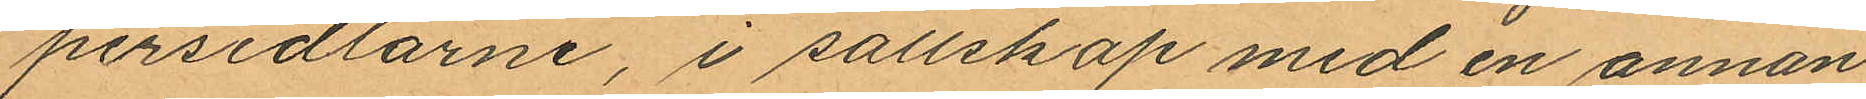persedlarne, i sallskap med en annan
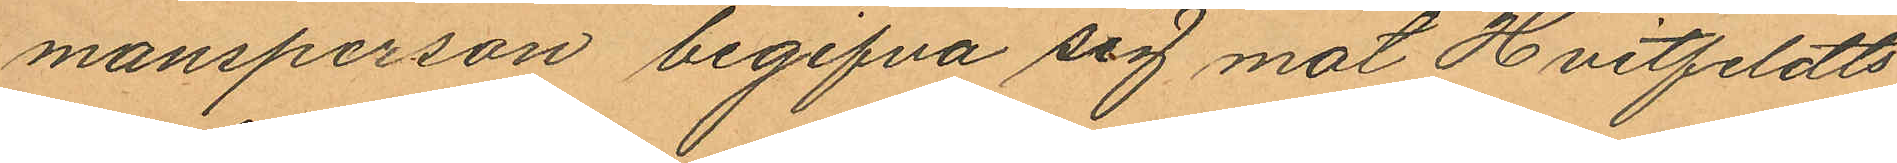mansperson begifva sig mot Hvitfeldts
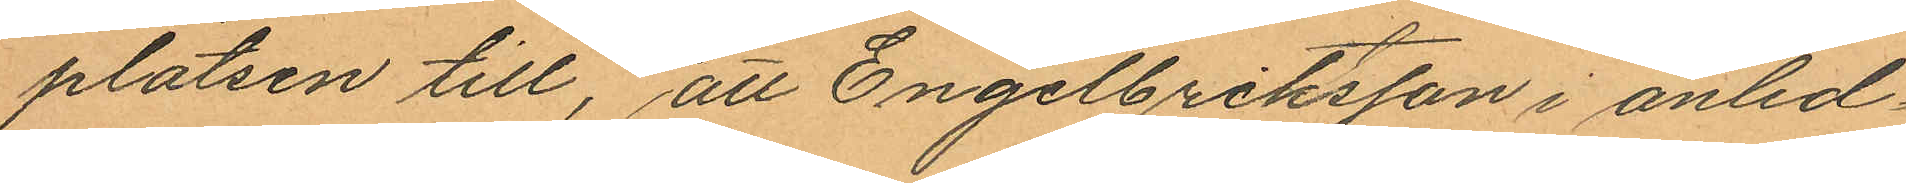platsen till, att Engelbrektsson i anled¬
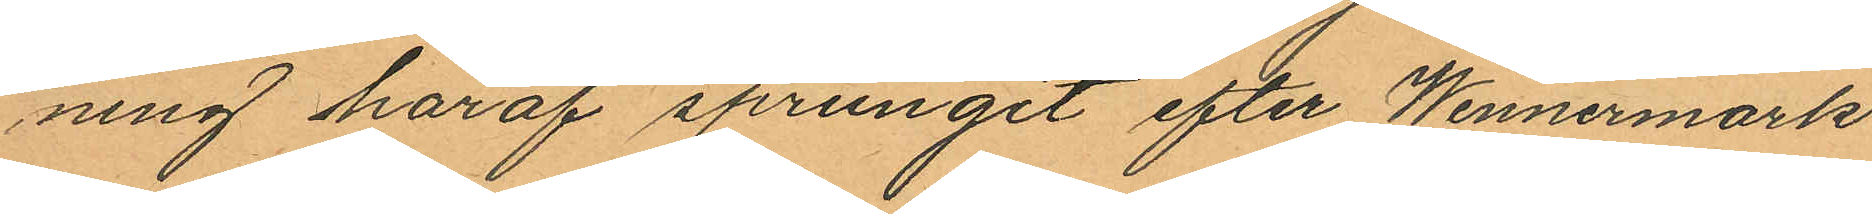ning häraf sprungit efter Wennermark
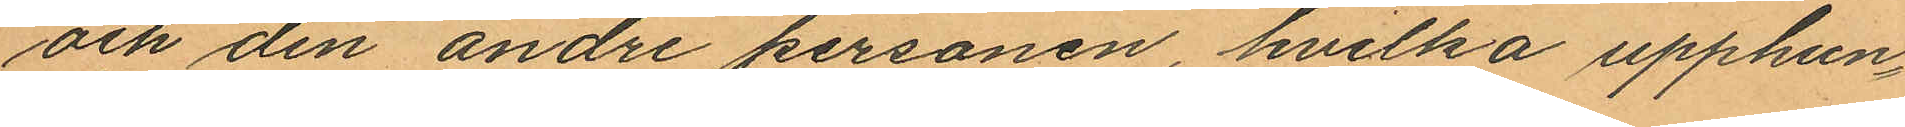och den andre personen, hvilka upphun¬
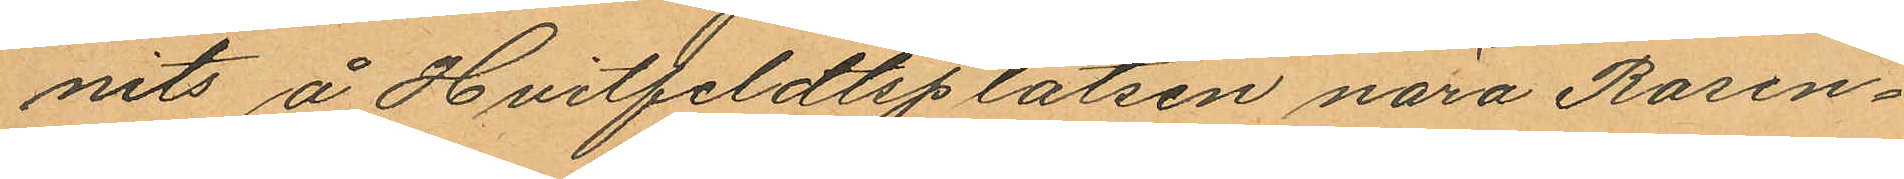nits å Hvitfeldtsplatsen nära Rosen¬
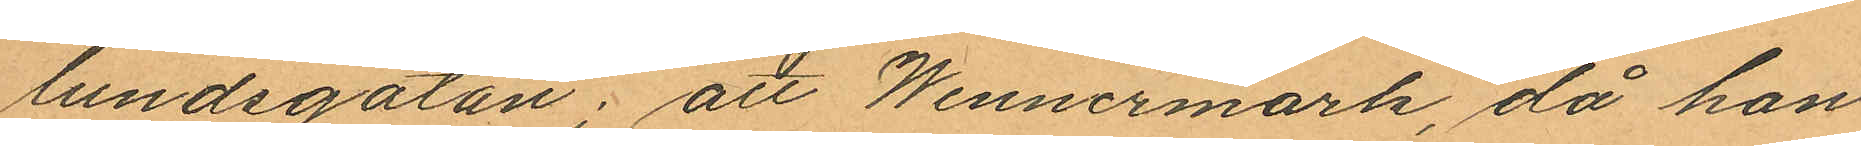lundsgatan; att Wennermark, då han
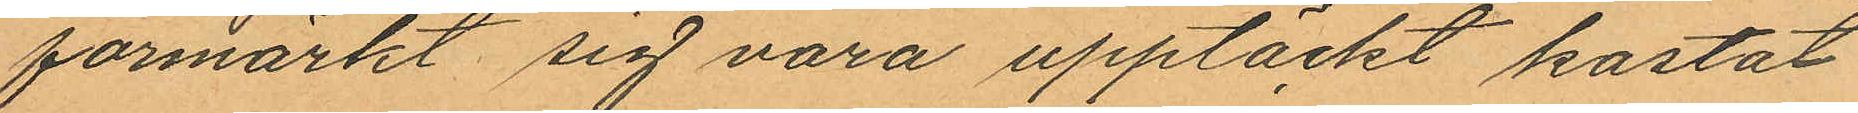förmärkt sig vara upptäckt kastat
